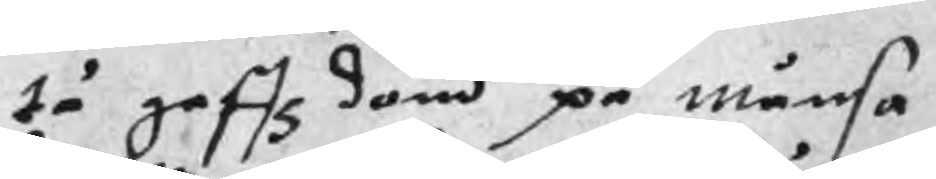tå gaffz dom på månsa
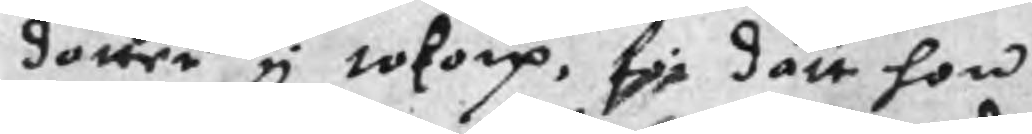dotter i tokorp, för dett hon
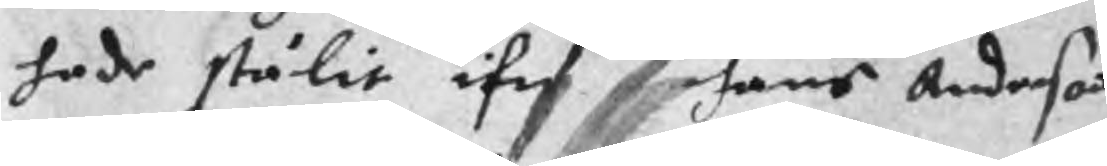hade stulit ifrf hans Anderson
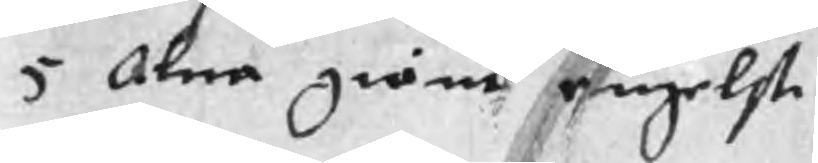5 Alna gröne engelst
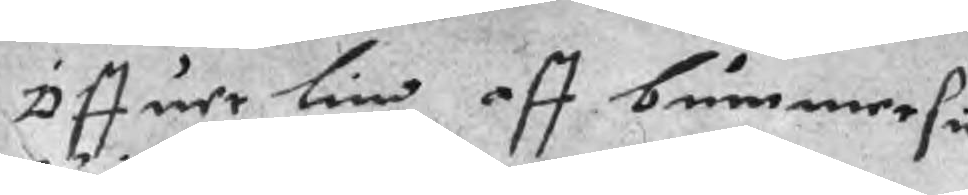Öffuer lin aff bummersu
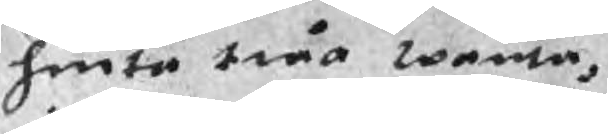huita twå wanta,
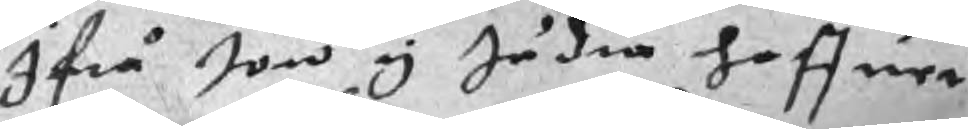Ifrå Jon y Jädna haffuer
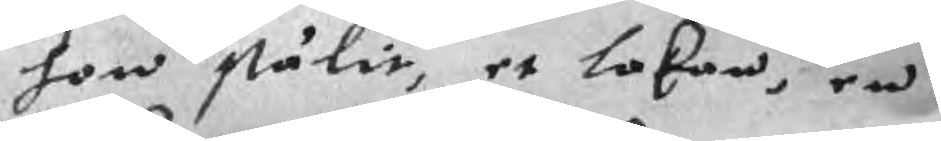hon stålit, et lakan, en
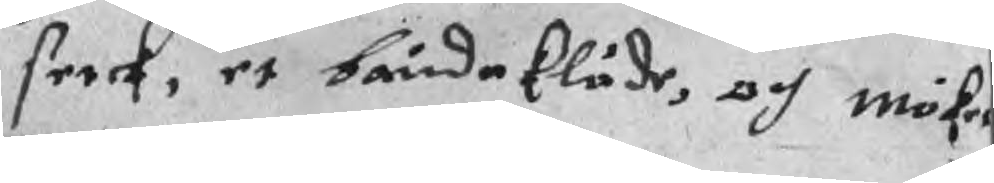serck, et båndekläde, och möket
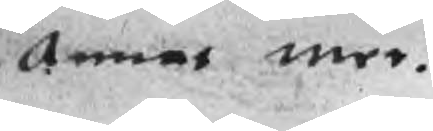Annat mer.
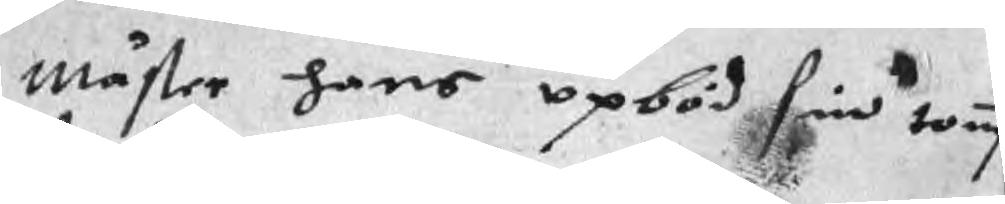mäster hans opböd sin tomp
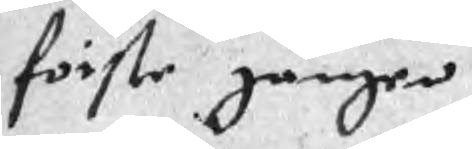förste gången
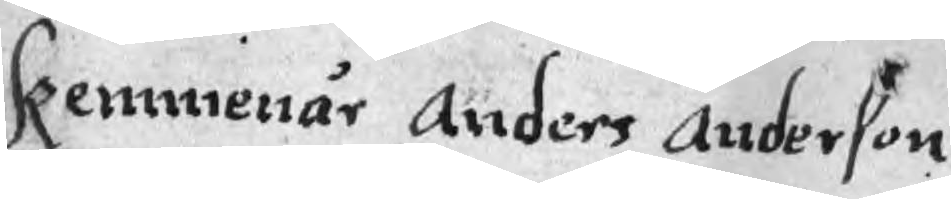Kemmenär Anders Anderson
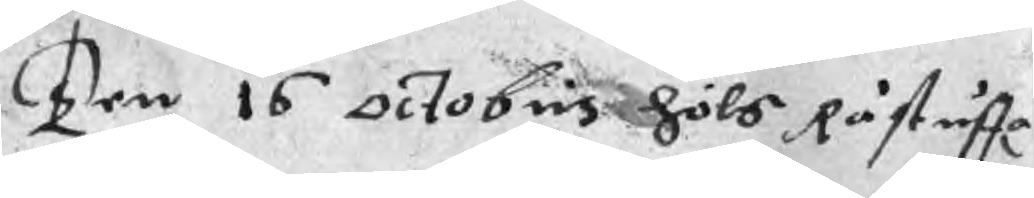Ten 16 Octobris höls Råstuffa
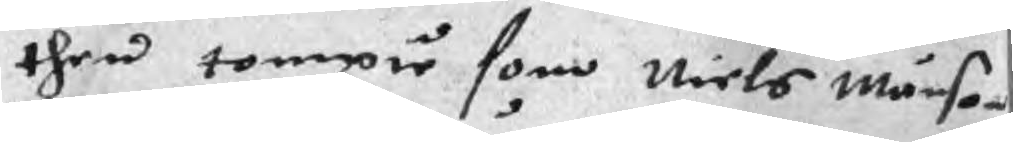then tompie som Niels Månson
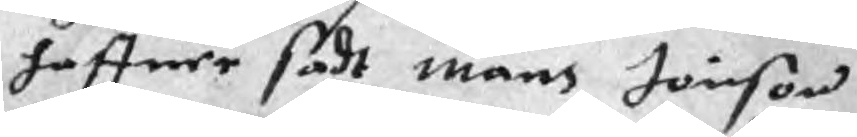haffuer sadt måns Jönson
